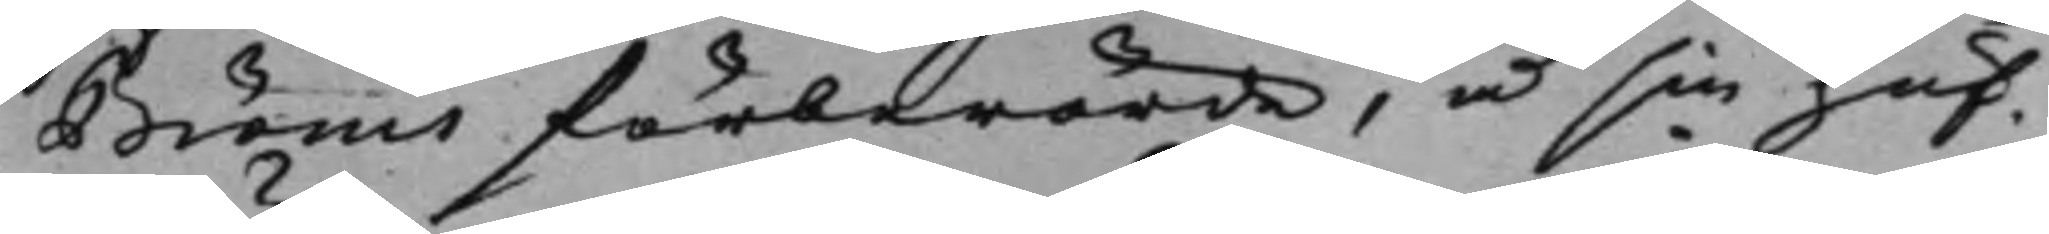Bröms förberörde, å sin huf¬
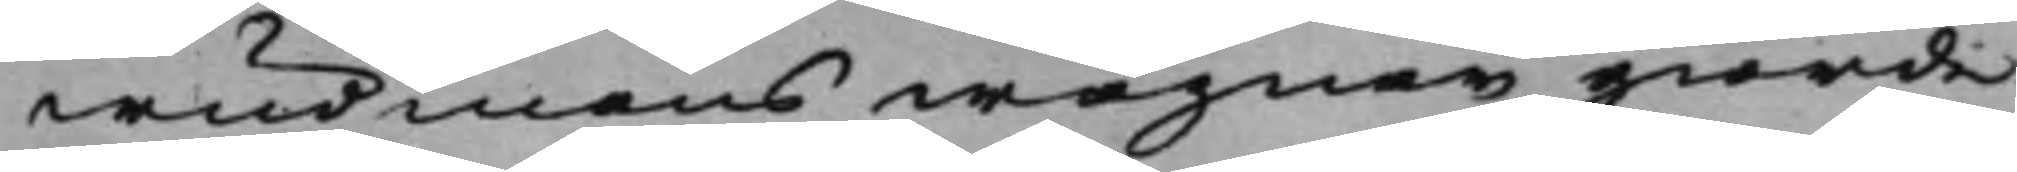wudmans wägnar giorde
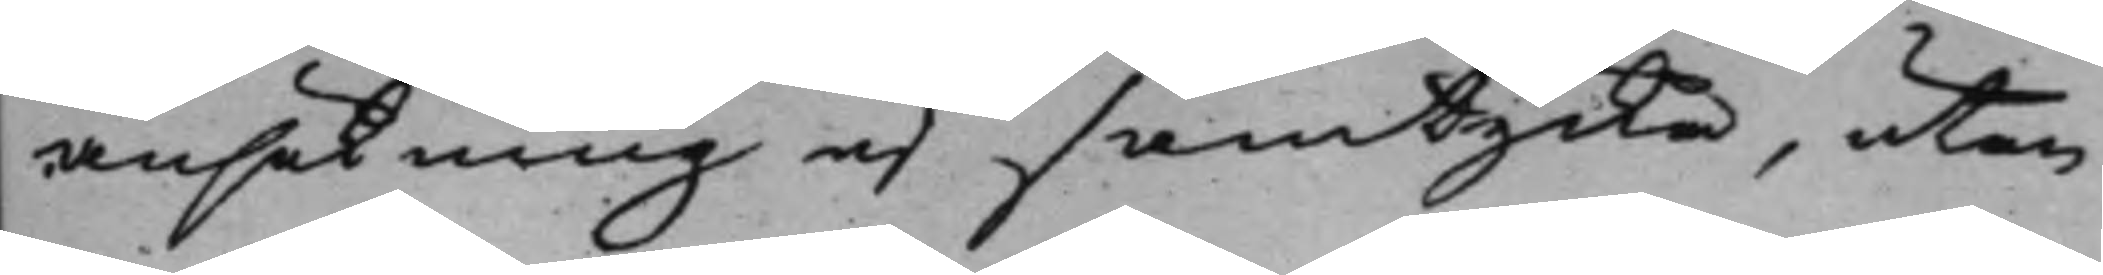ansökning ej samtycka, utan
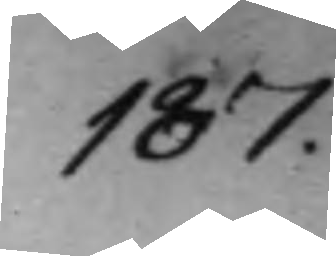187.
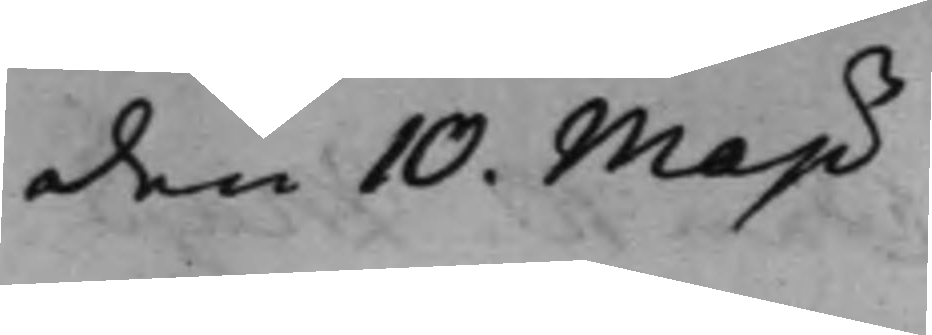den 10. Maji
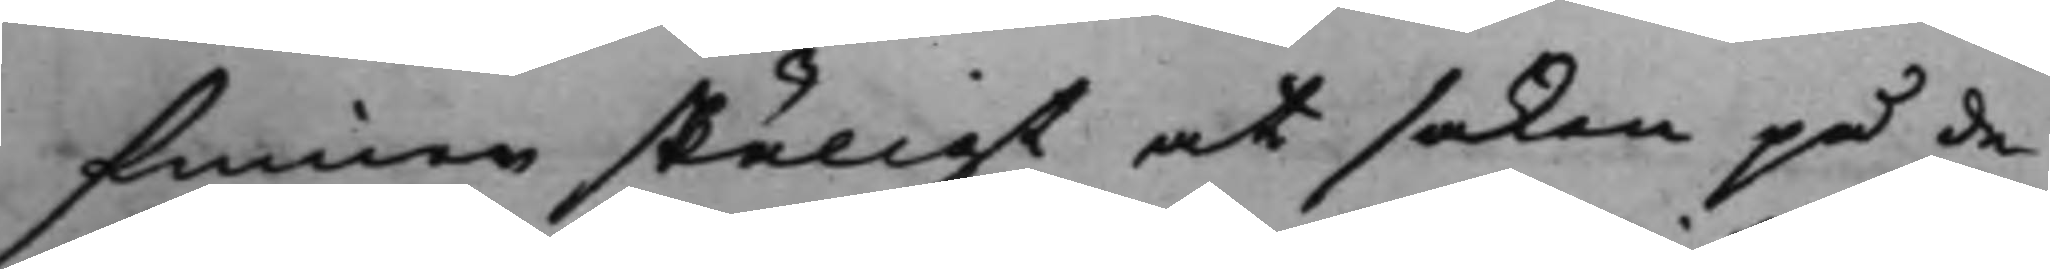funno skäligt at saken på de
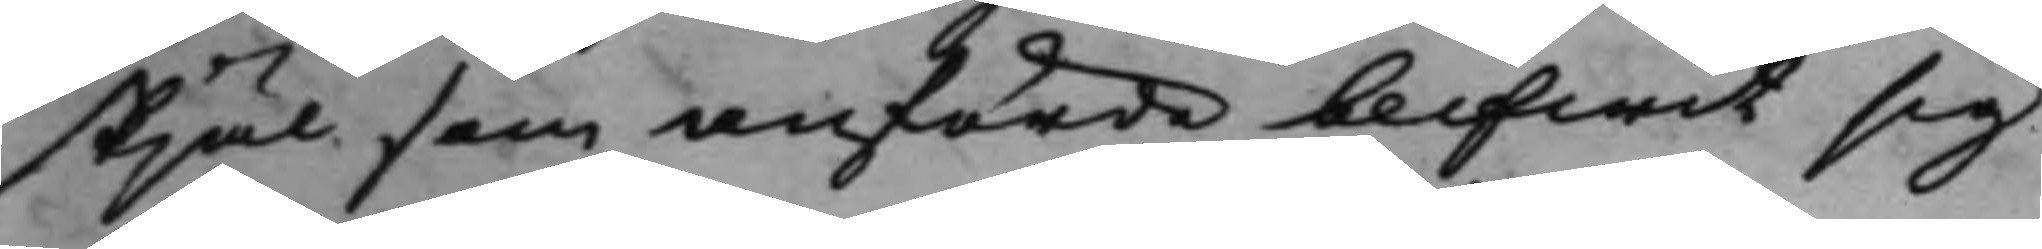skjäl som anförde blifwit sig
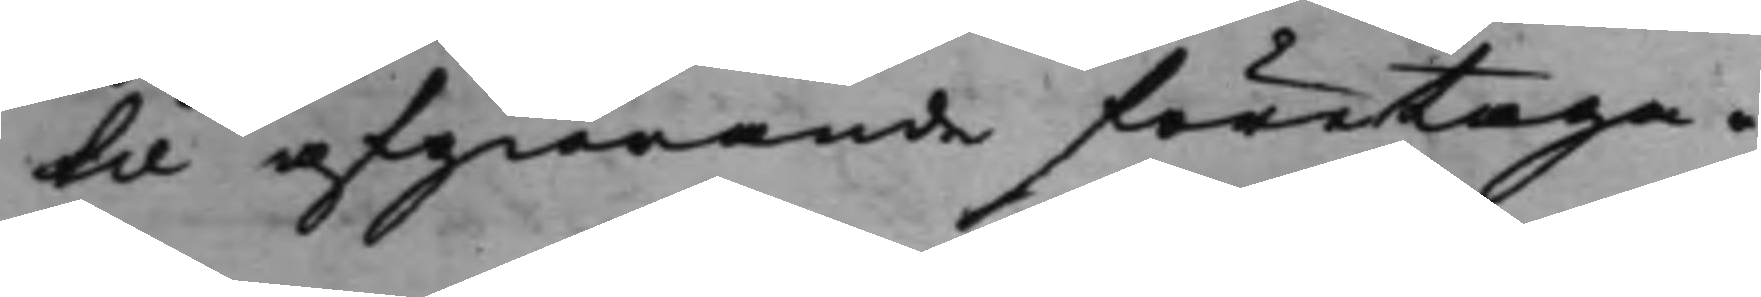til afgiörande företaga.
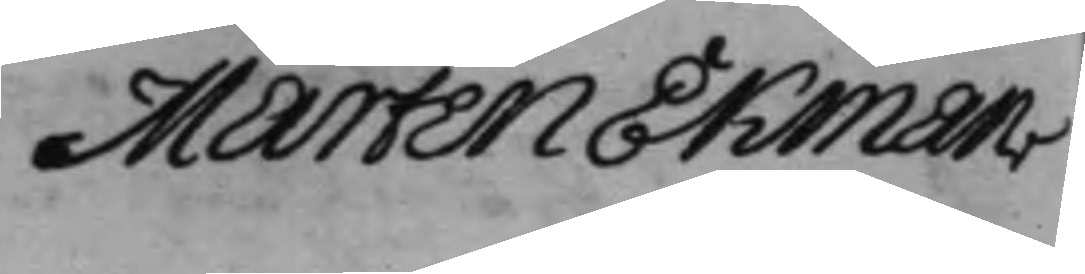Mårten Ekman
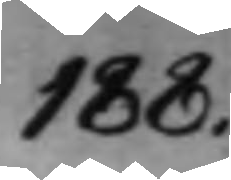188.
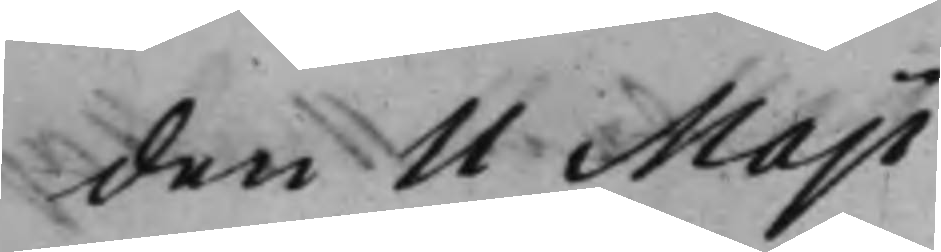den 11 Maji
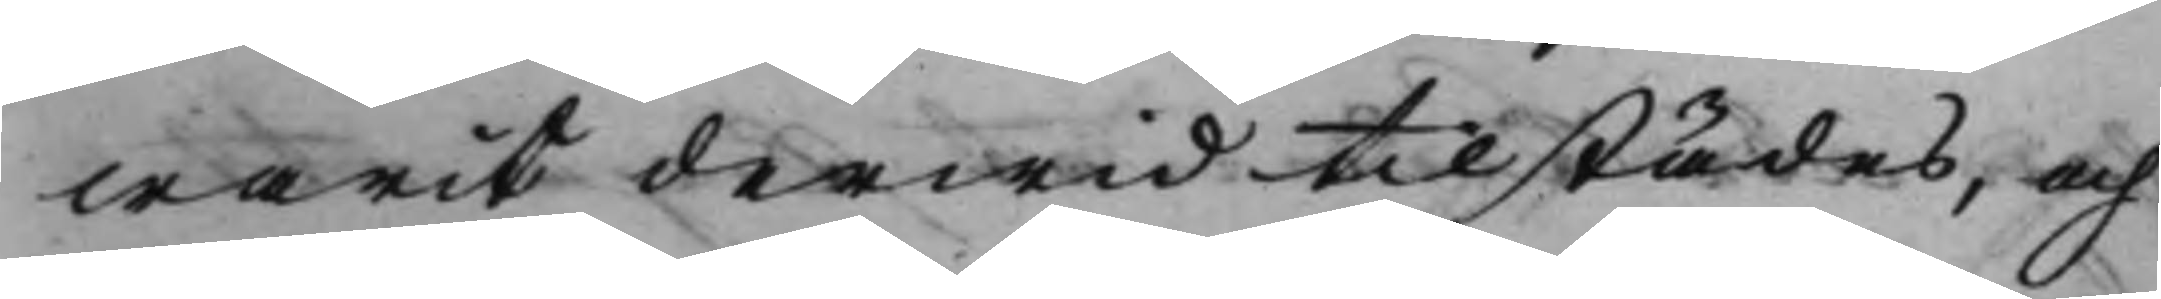warit derwid tilstädes, och
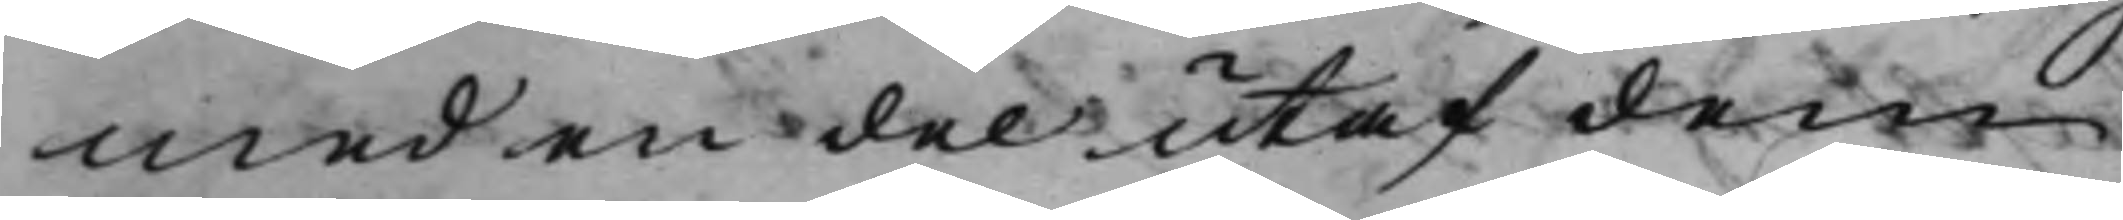med en del utaf dem
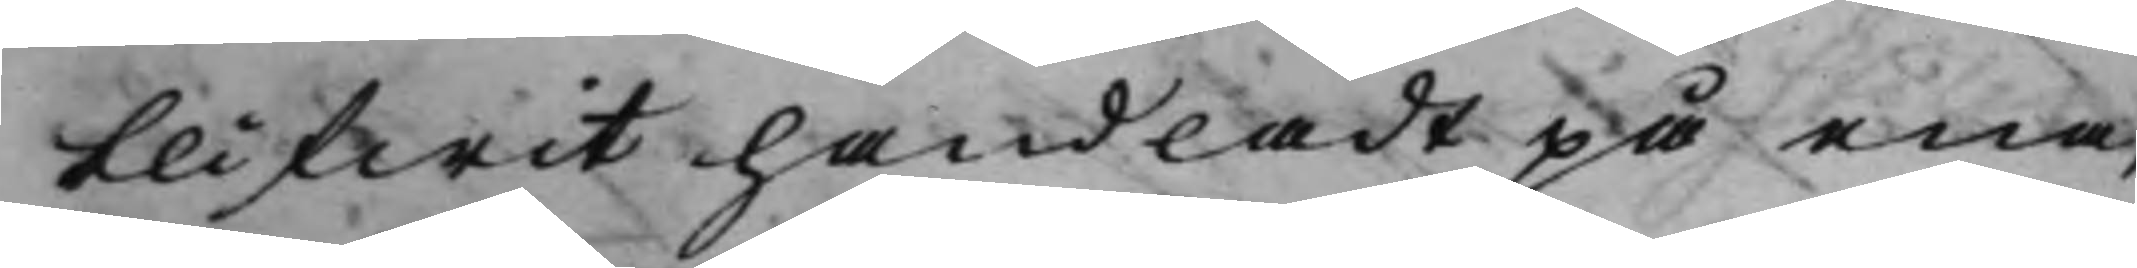blifwit handladt på ena,
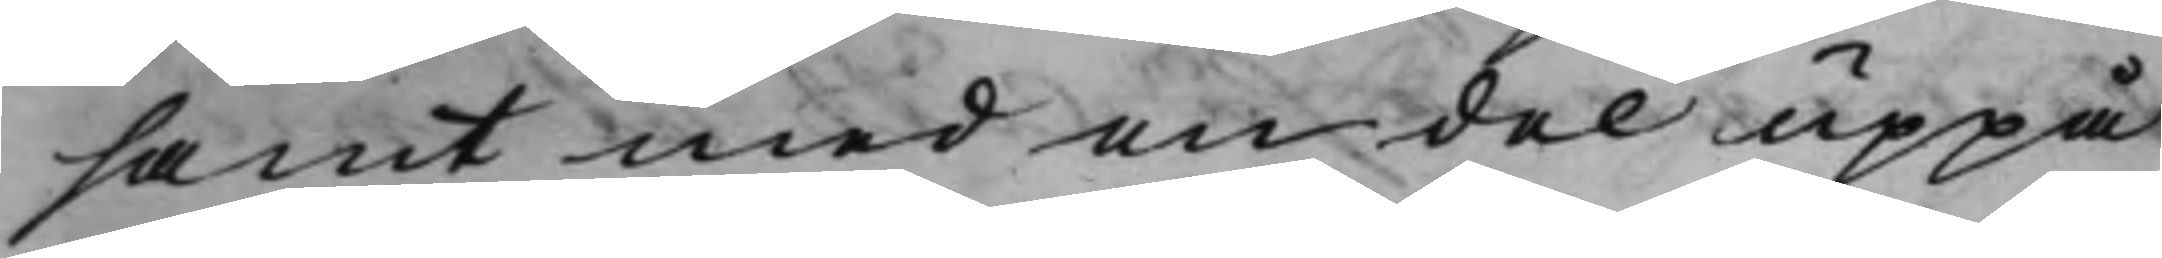samt med en del uppå
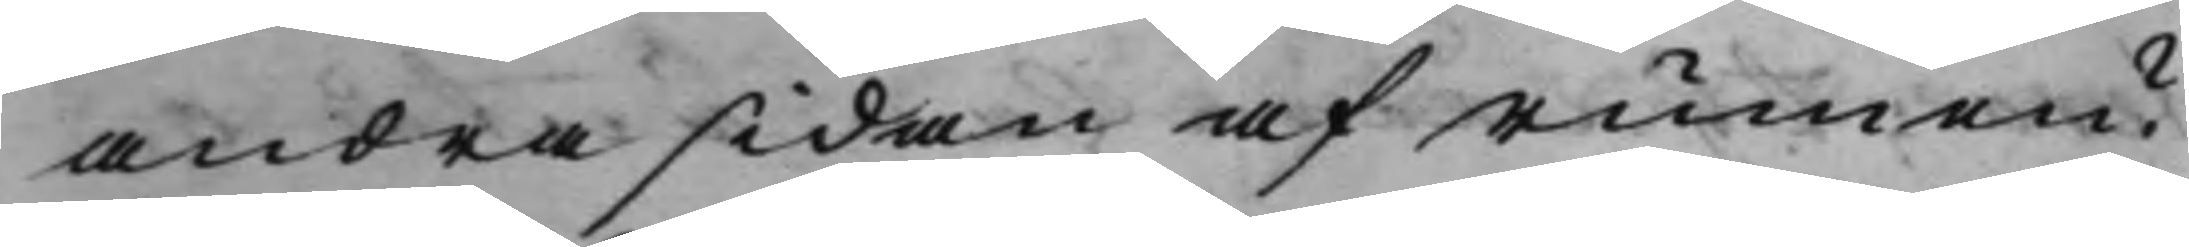andra sidan af rumen?
